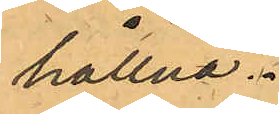hållna.
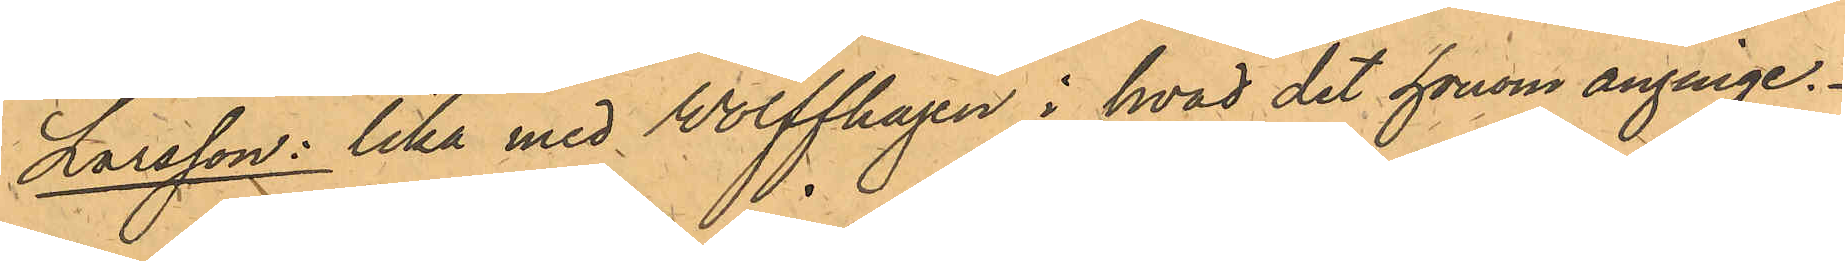Larsson: lika med Wolffhagen i hvad det honom anginge.
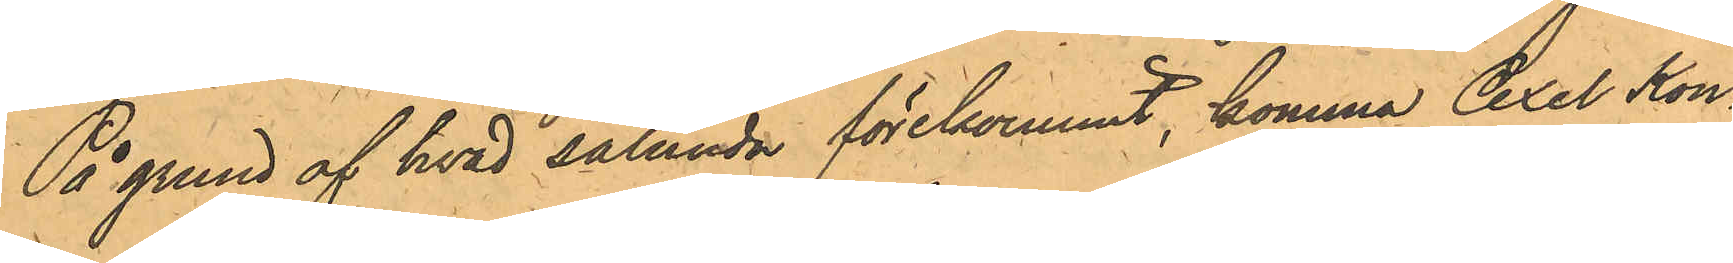På grund af hvad sålunda förekommit, komma Axel Kon¬
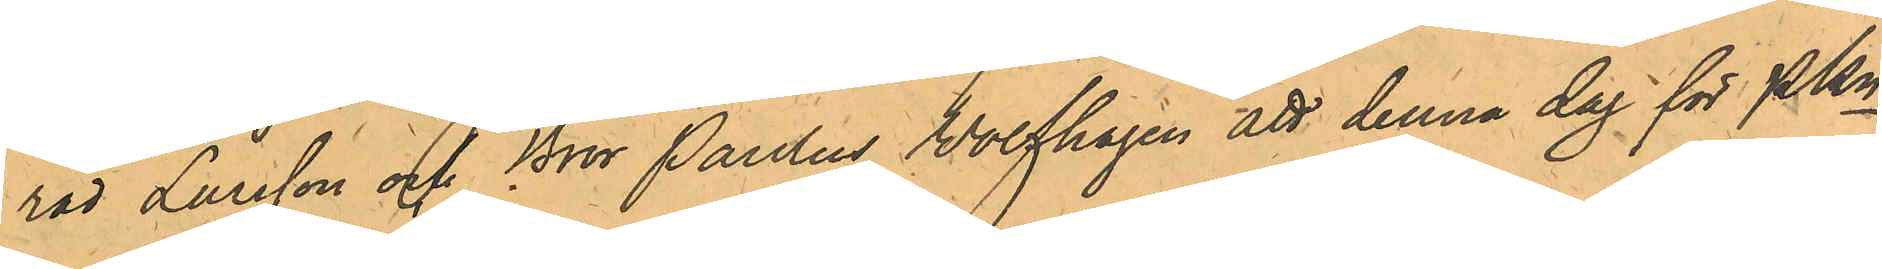rad Larsson och Bror Paulus Wolfhagen att denna dag för PKn
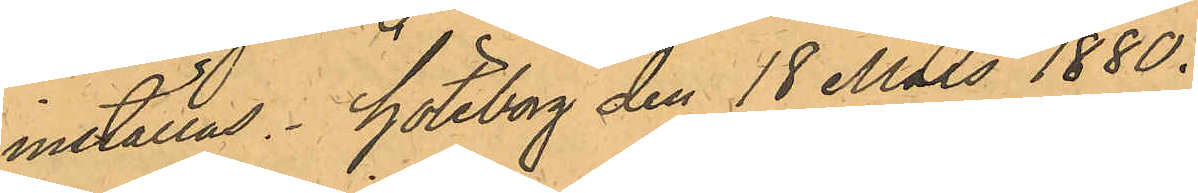inställas. Göteborg den 18 Mars 1880.
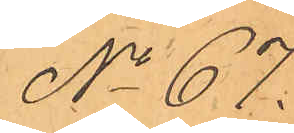No 67.
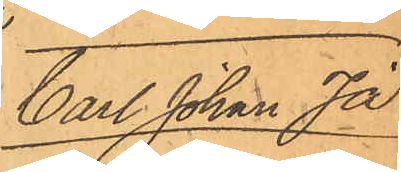Carl Johan Ja¬
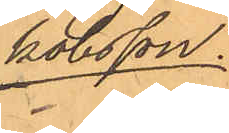kobsson.
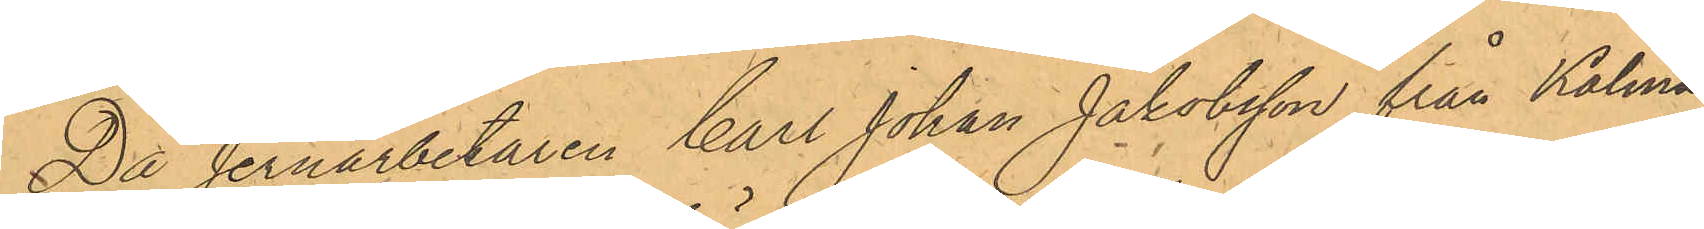Då Jernarbetaren Carl Johan Jakobsson från Kalmar
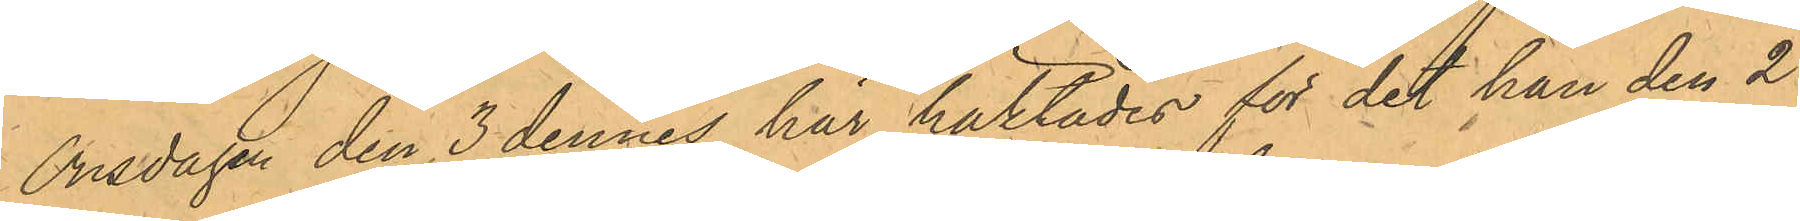Onsdagen den 3 dennes här häktades för det han den 24
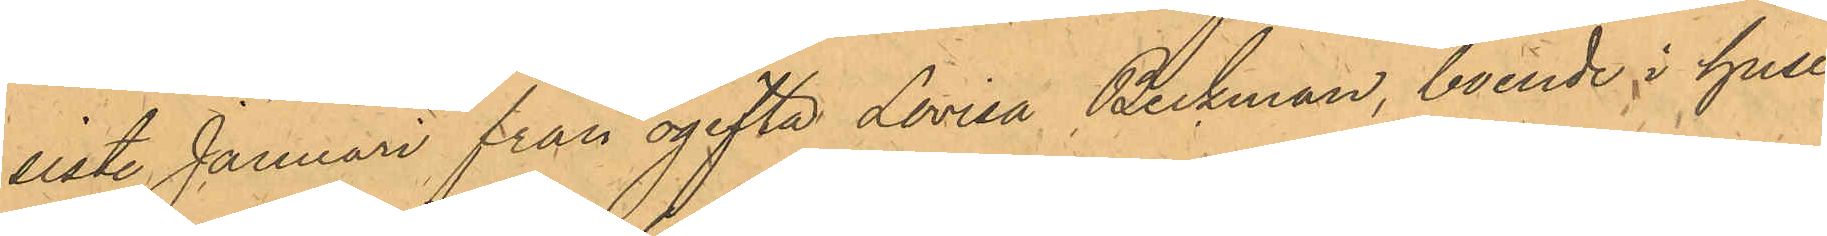sistl. Januari från ogifta Lovisa Beckman, boende i huset
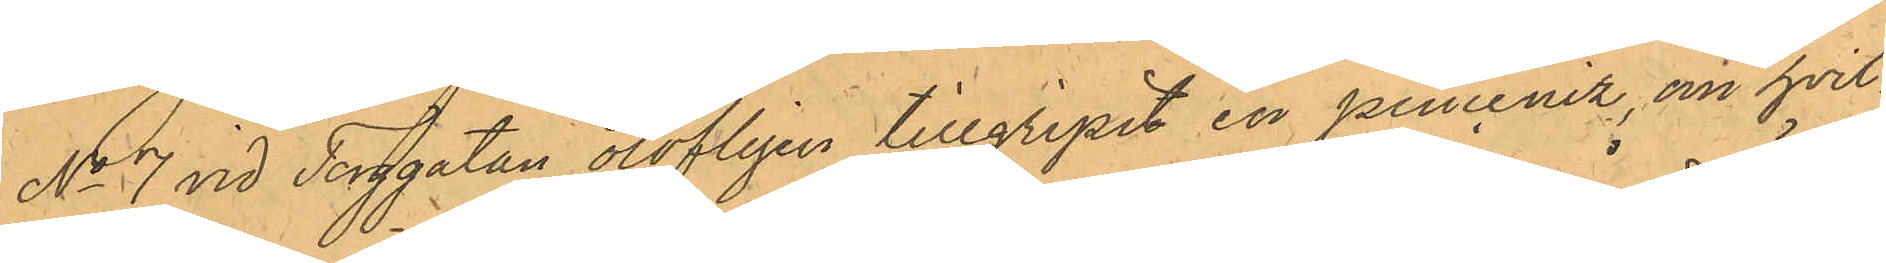No 7 vid Torggatan olofligen tillgripit en pinceniz, om hvil¬
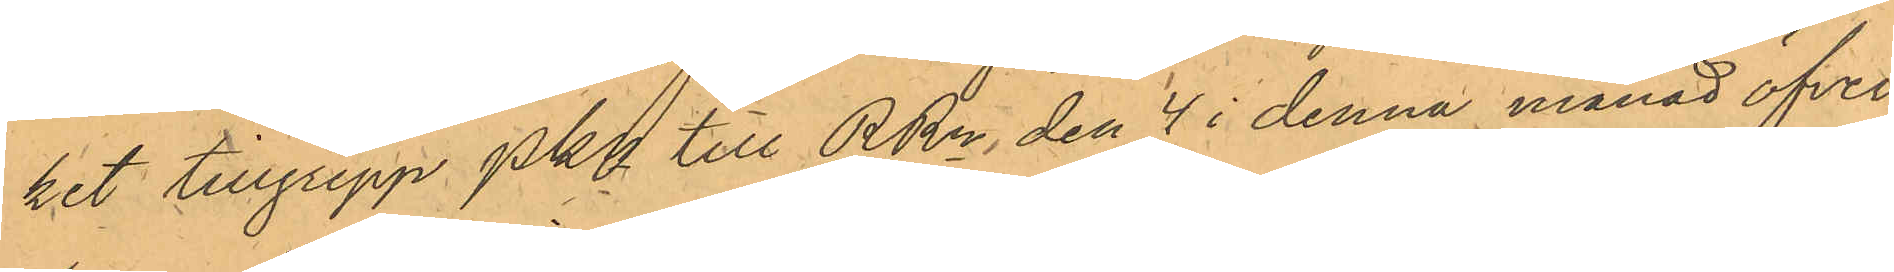ket tillgrepp PKn till RRn den 4 i denna månad öfver¬
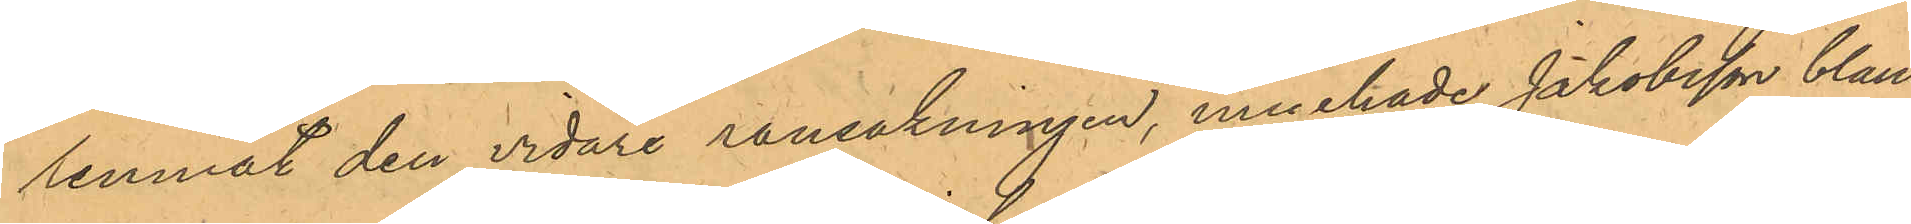lemnat den vidare ransakningen, innehade Jakobsson bland
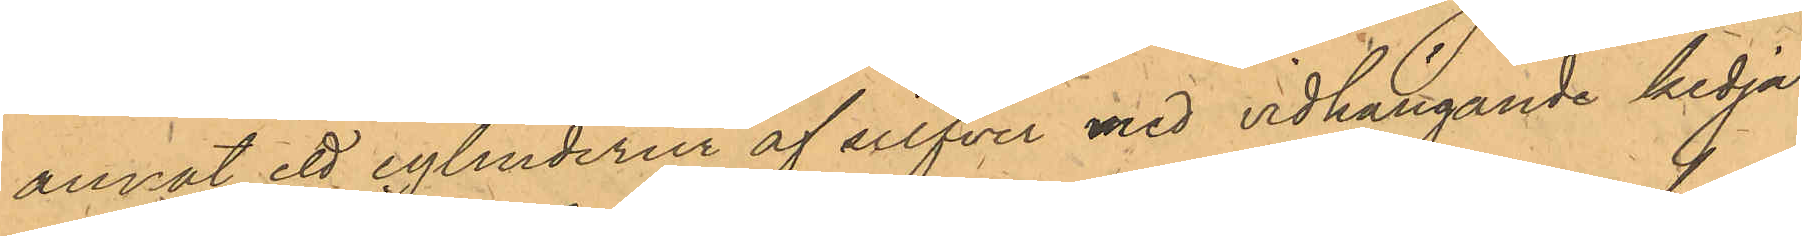annat ett cylinderur af silfver med vidhängande kedja
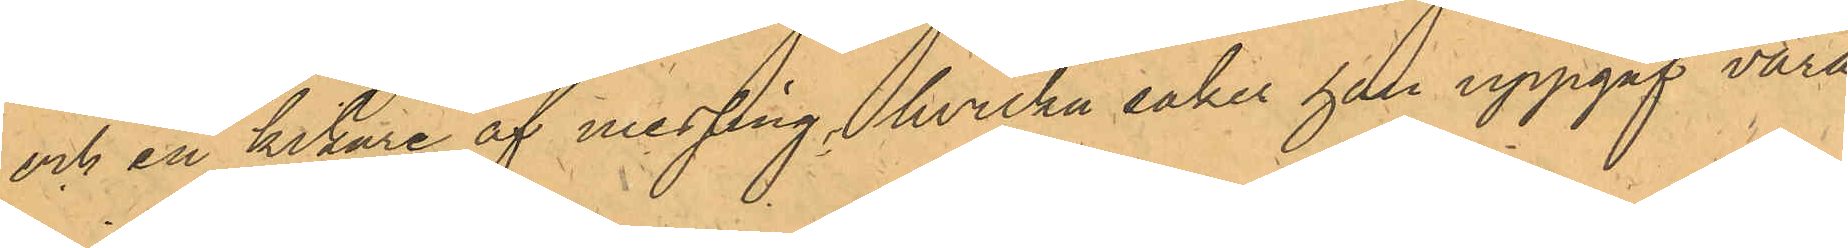och en kikare af messing, hvilka saker han uppgaf vara
